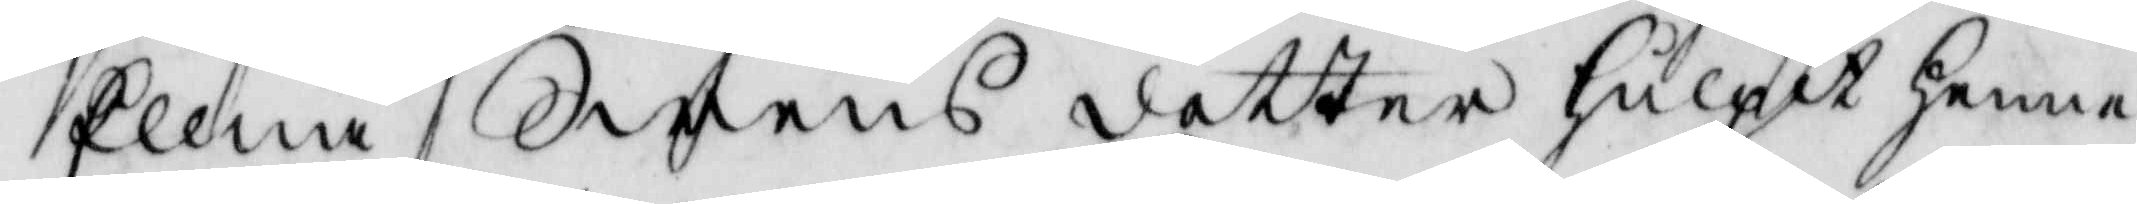Ellna Swens dotter hulpit henne
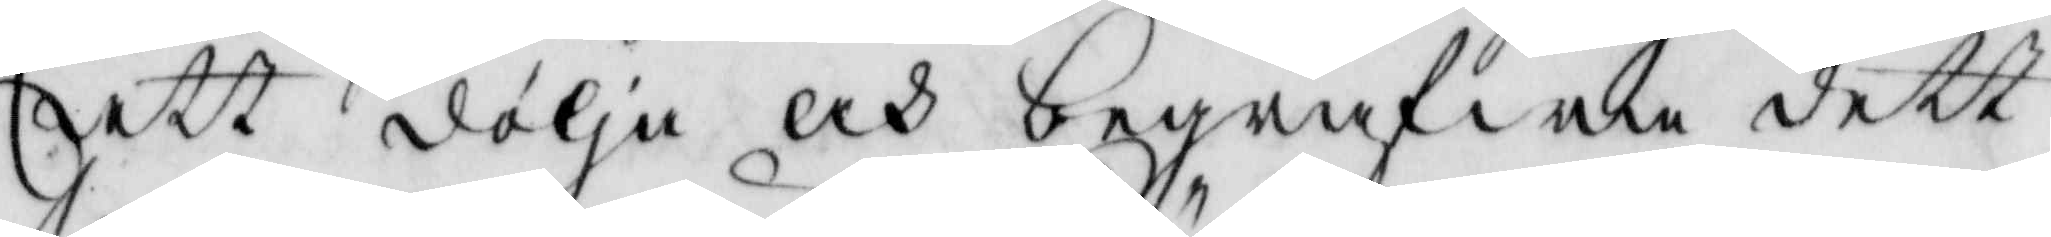att dölja och begrafwa dett
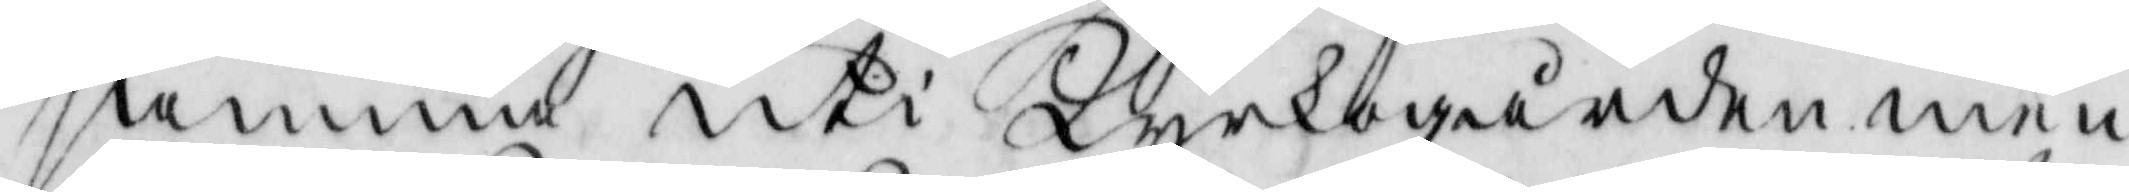samma uti Kyrkogården men
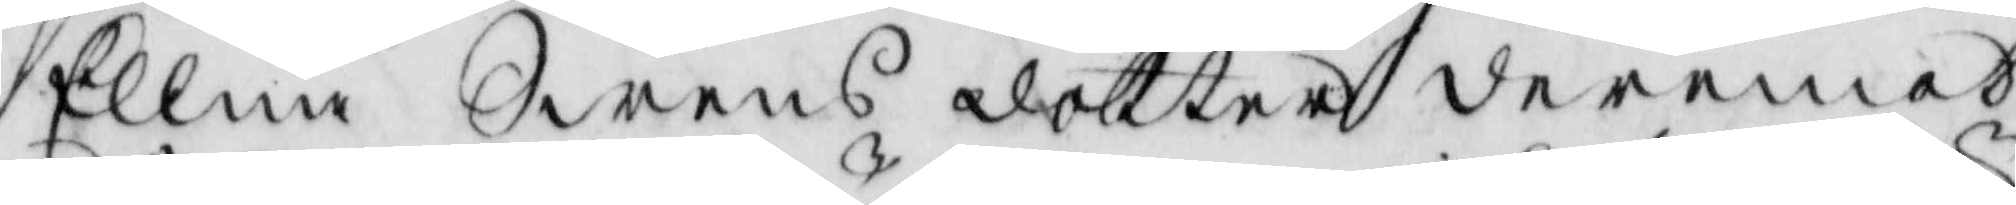Ellna Swens dotter deremot
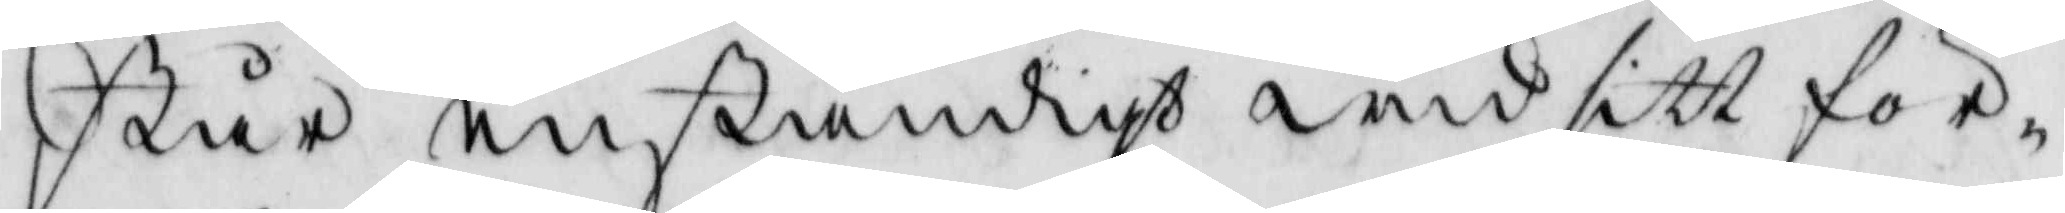står enständigt wid sitt för¬
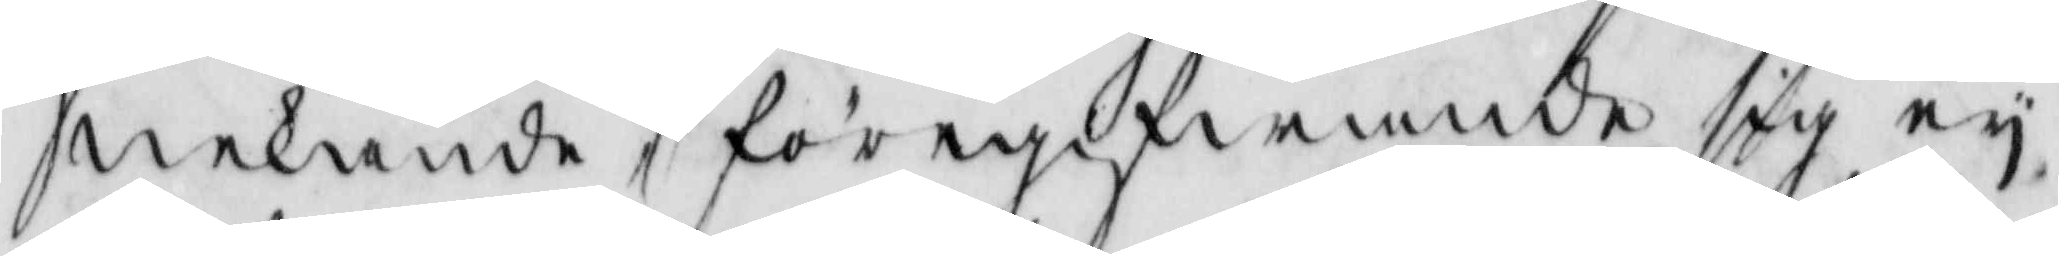nekande, föregifwande sig ey,
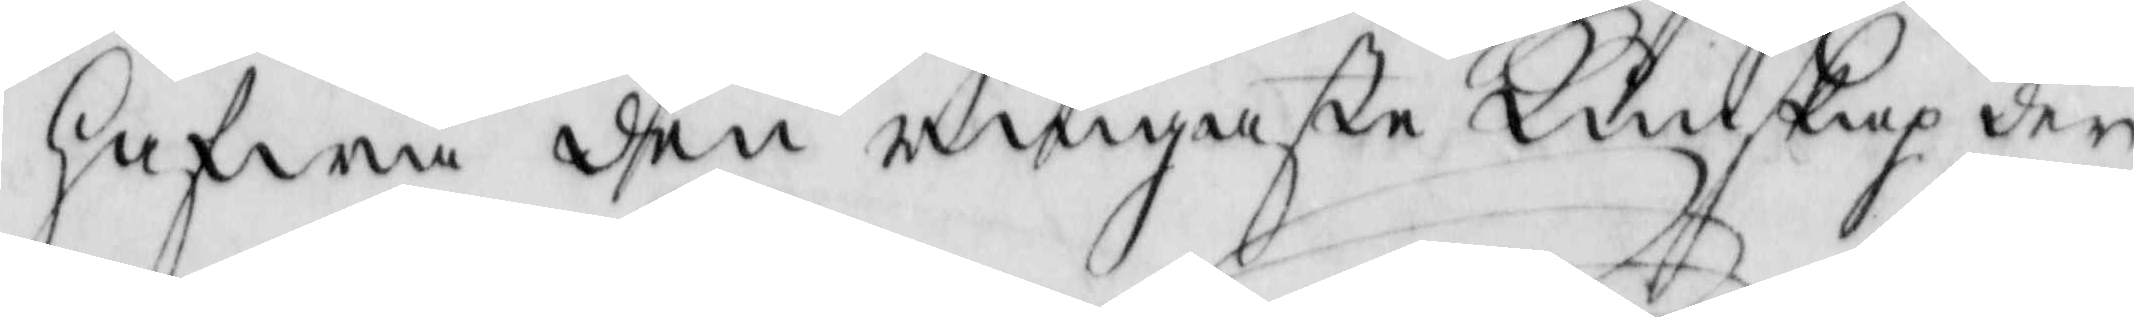hafwa dhen ringaste Kunskap der
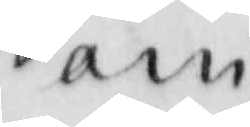om
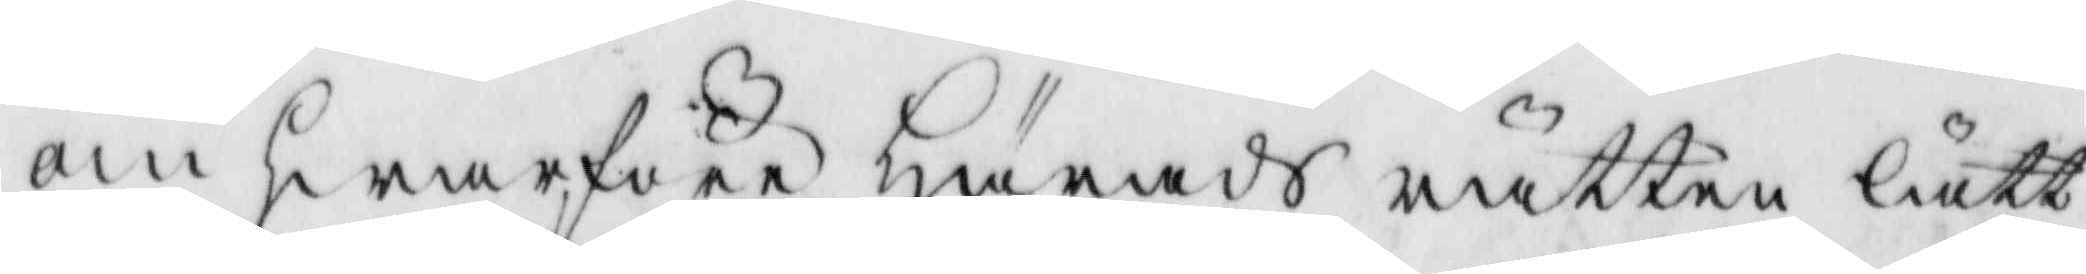om hwarföre Härads rätten lätt
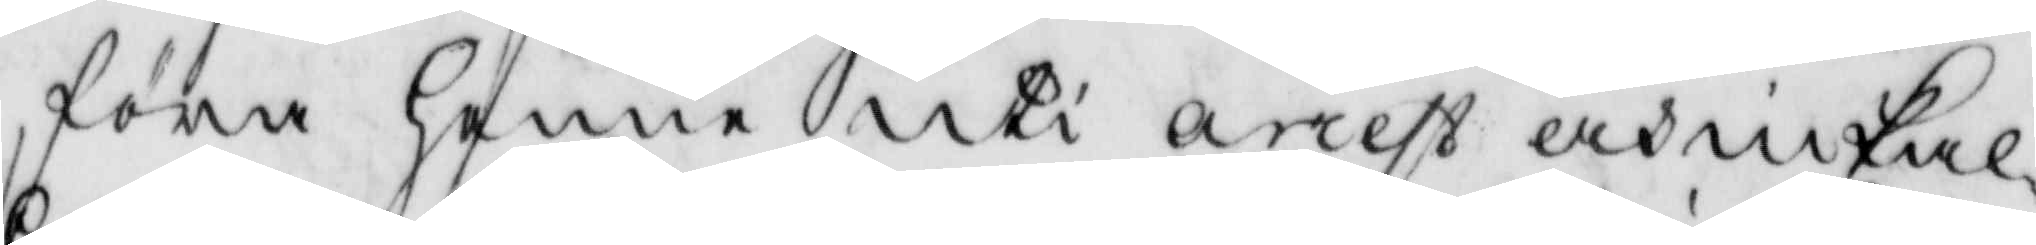föra henne uti arrest och inkal¬
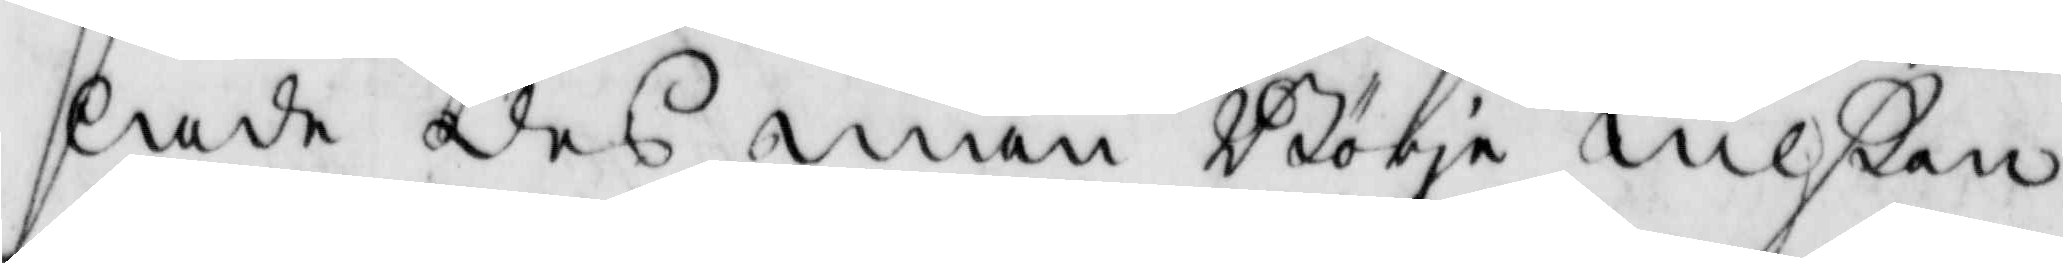lade des man Börje Nilßon
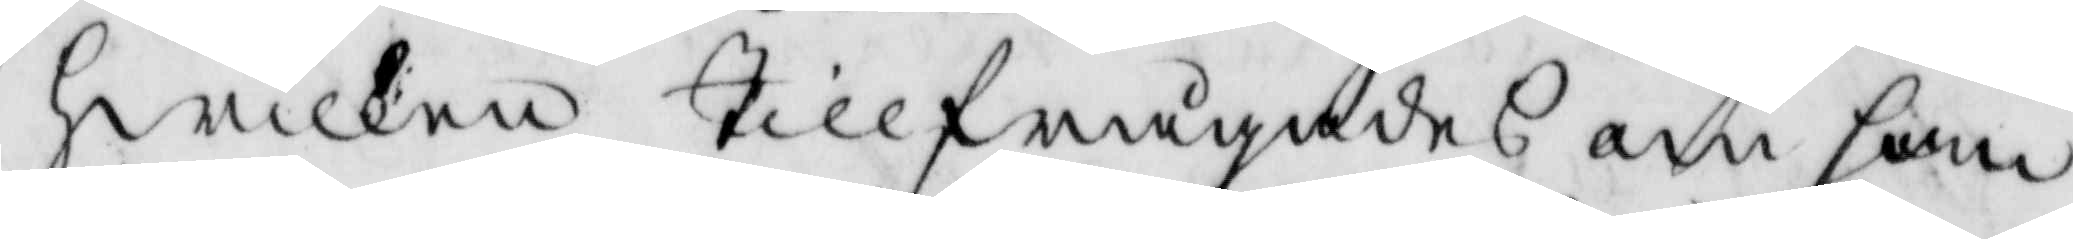hwilken tillfrågades om han
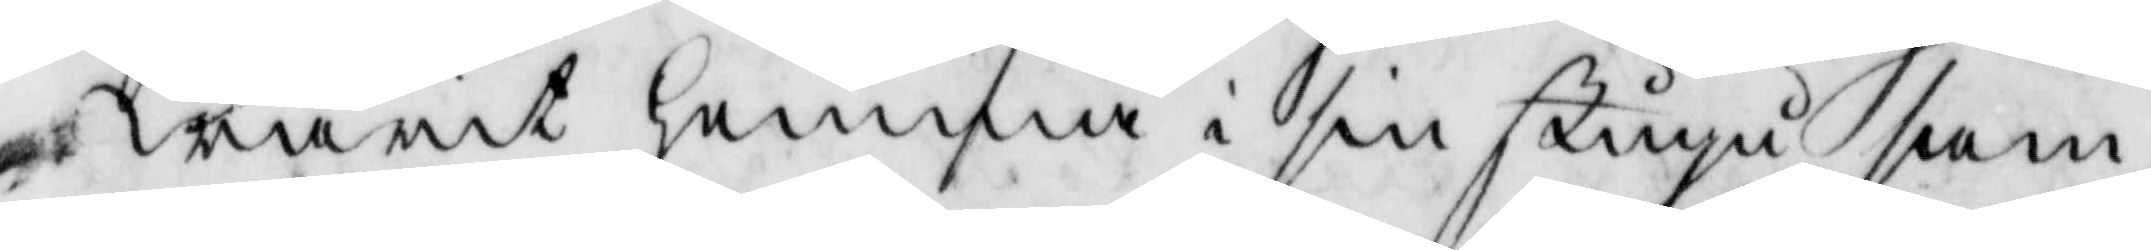warit hemma i sin stugu sam¬
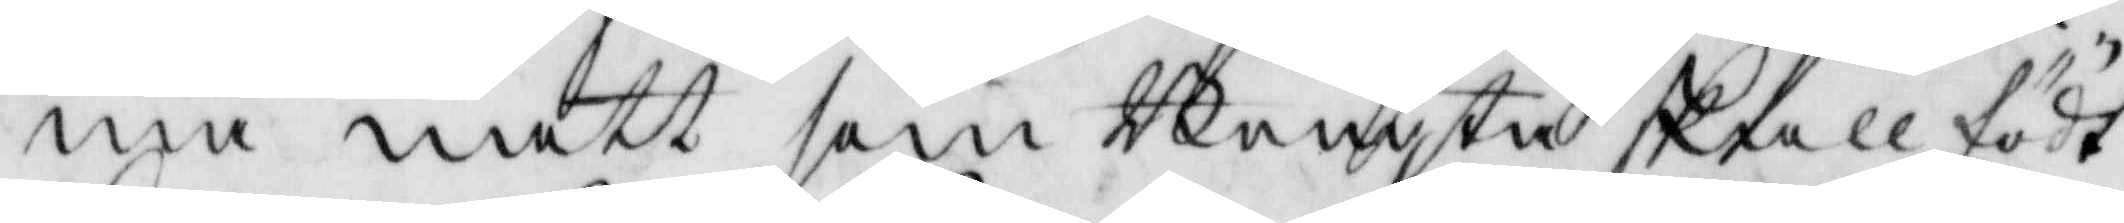ma natt som Bengta skall födt
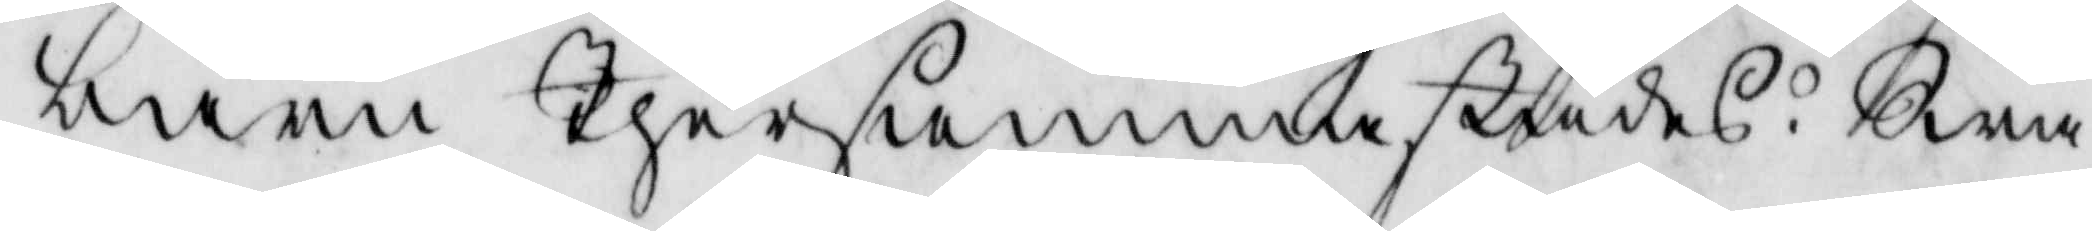barn thersammastädes. Swar¬
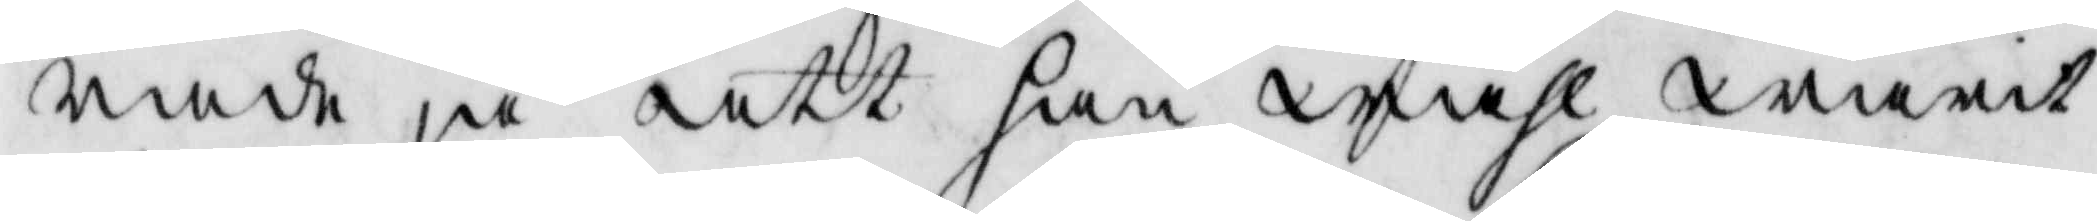rade ja att han wähl warit
